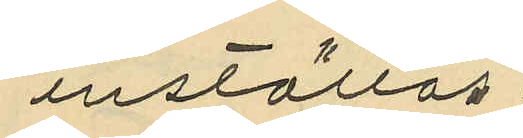inställas.
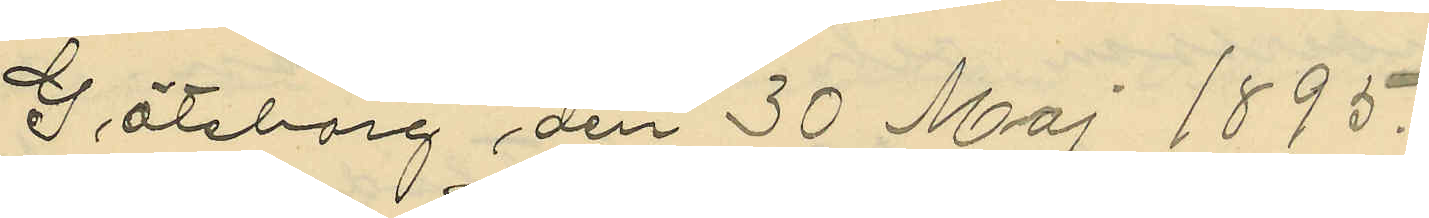Göteborg den 30 Maj 1895.
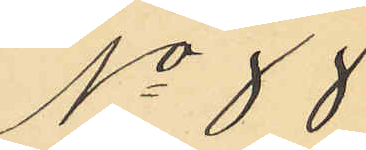No 88
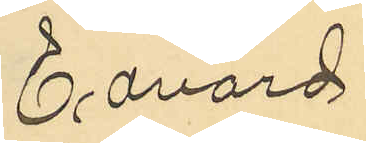Edvard
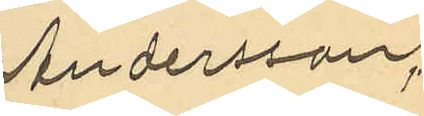Andersson,
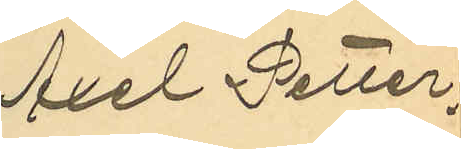Axel Petter¬
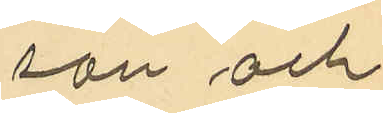son och
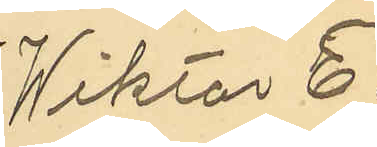Viktor E¬
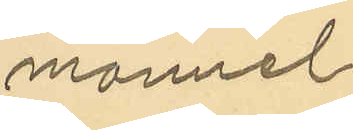manuel
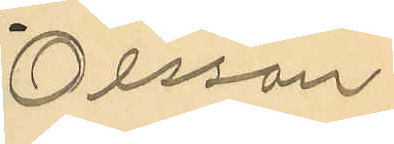Olsson
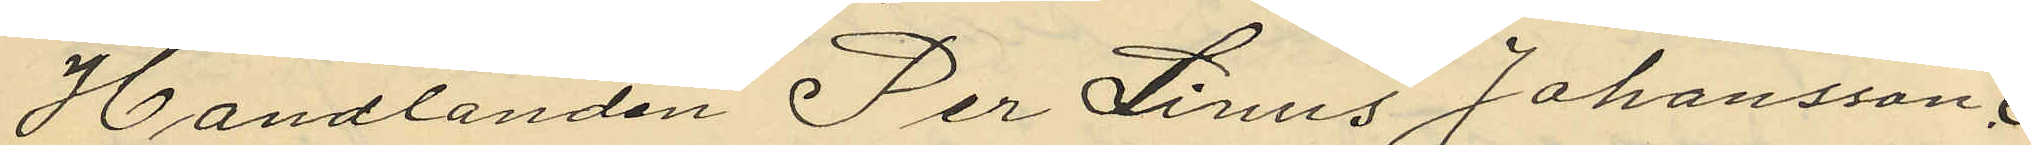Handlanden Per Linus Johansson,
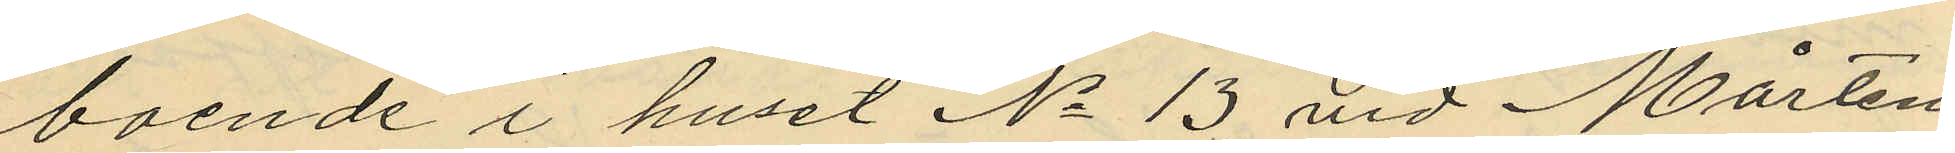boende i huset No 13 vid Mårten
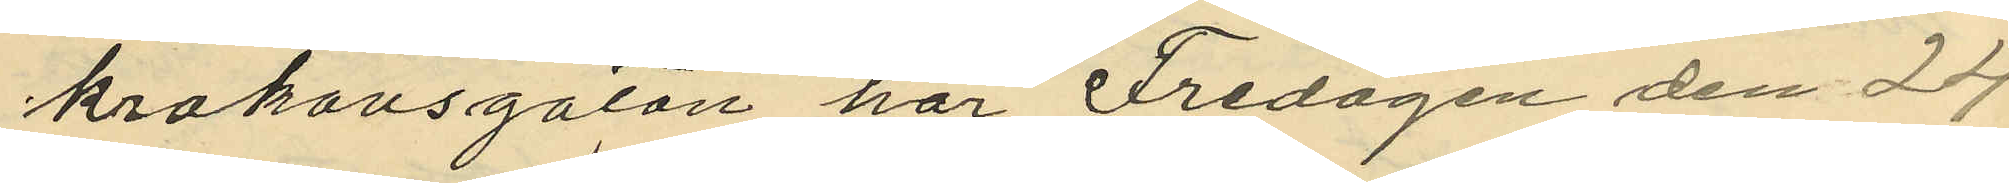krakovsgatan har Fredagen den 29
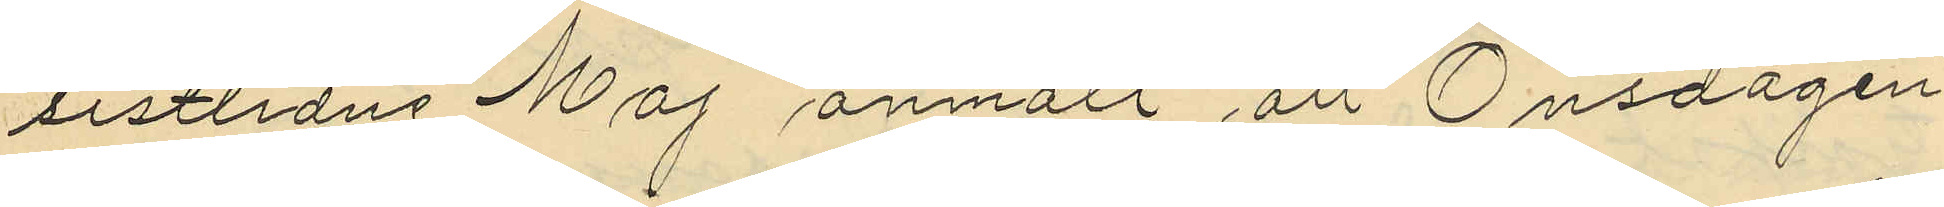sistlidne Maj anmält att Onsdagen
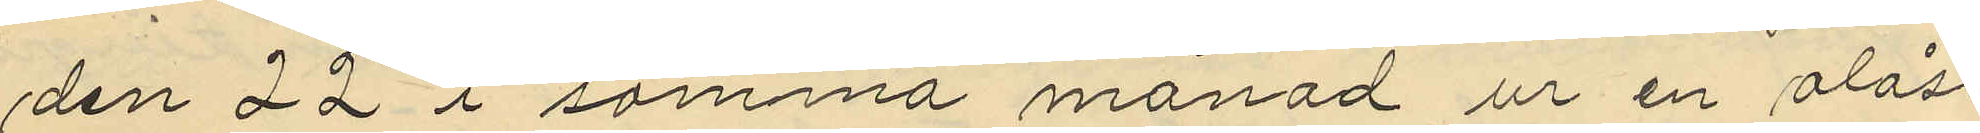den 22 i samma månad ur en olåst
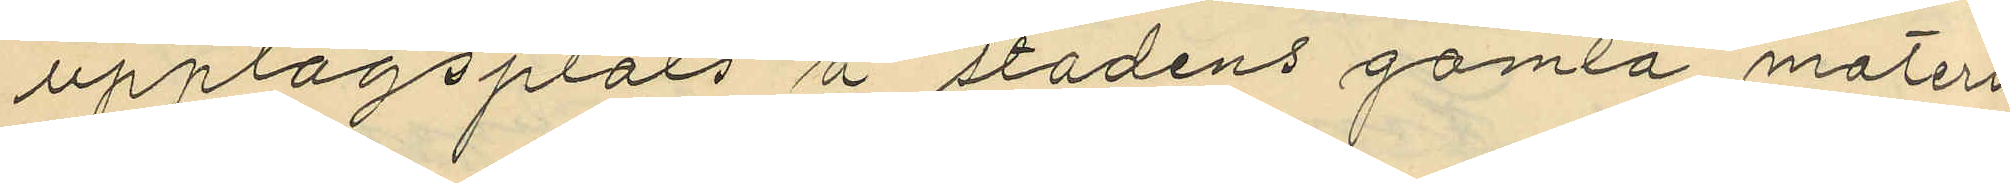upplagsplats å stadens gamla materi¬
